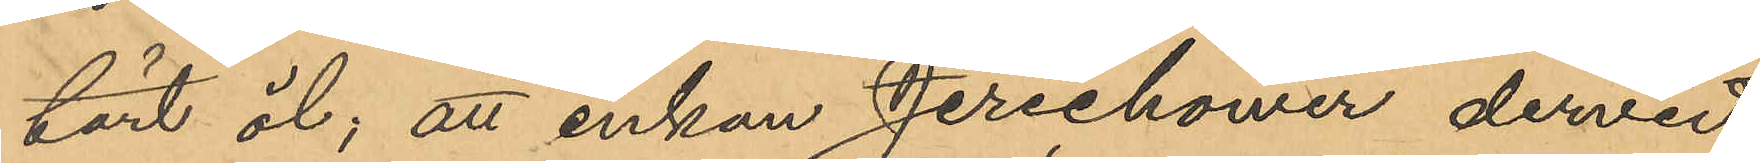tärt öl; att enkan Jerichower dervid
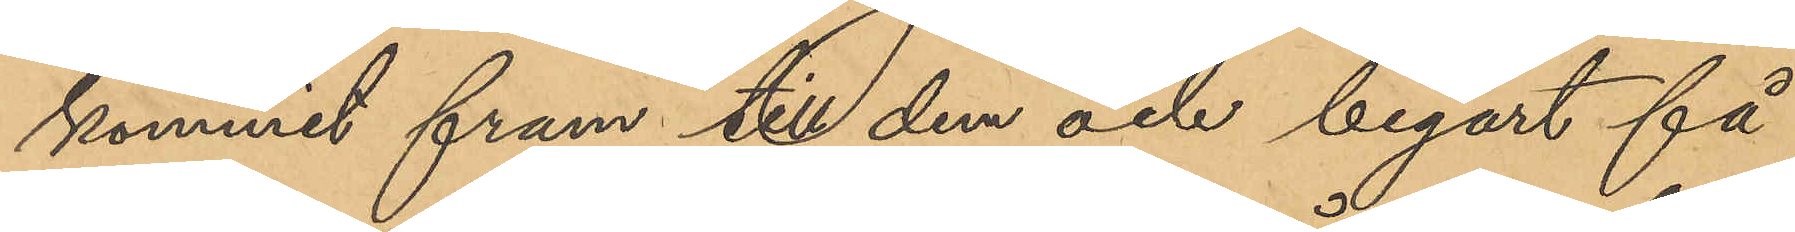kommit fram till dem och begärt få
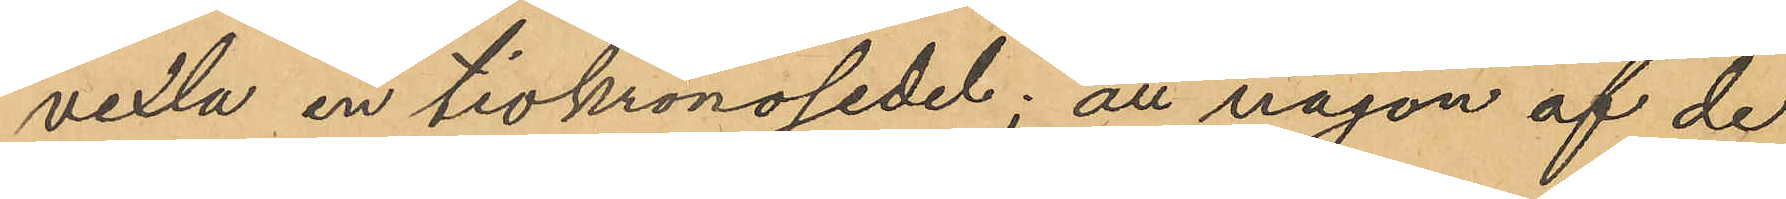vexla en tiokronosedel; att någon af de
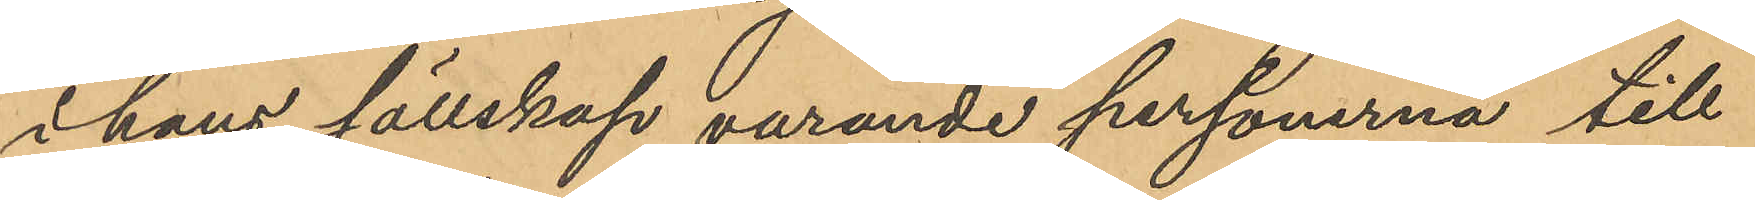i hans sällskap varande personerna till
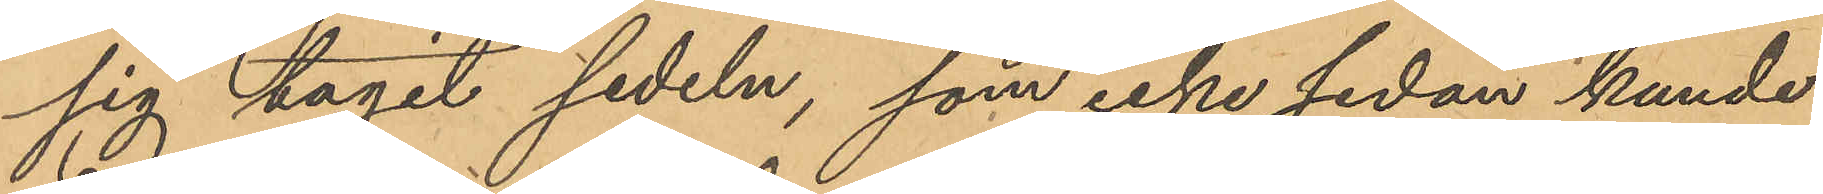sig tagit sedeln, som icke sedan kunde
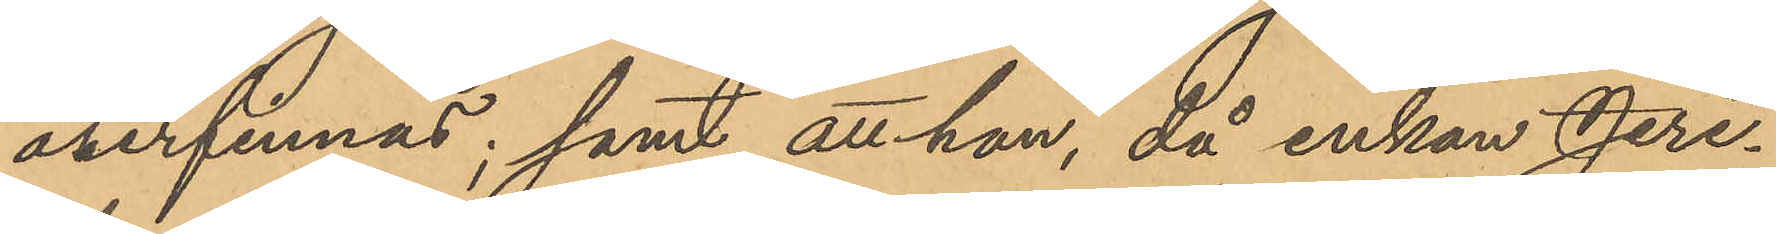återfinnas; samt att han, då enkan Jeri¬
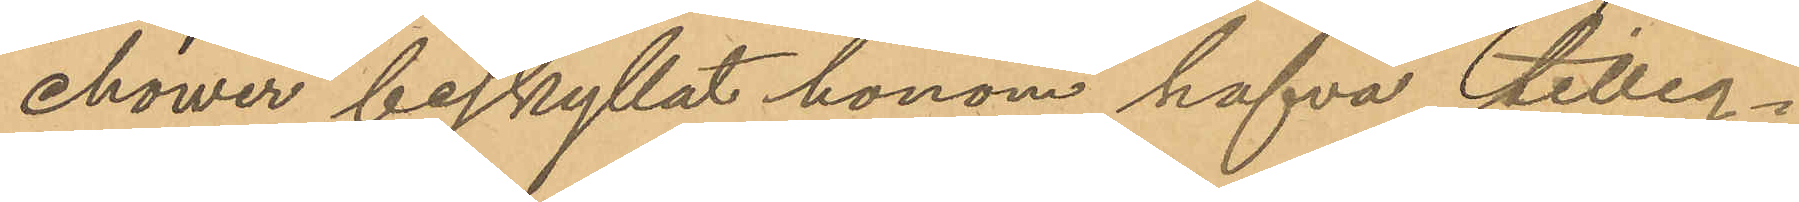chower beskyllat honom hafva tilleg¬
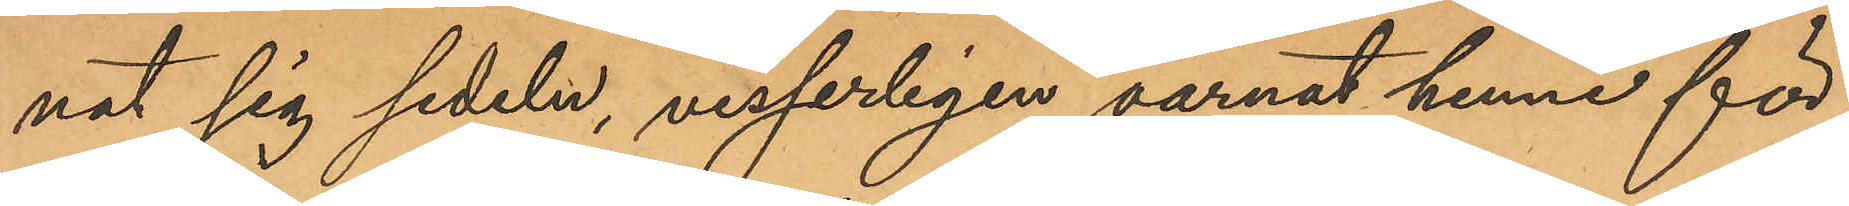nat sig sedeln, visserligen varnat henne för
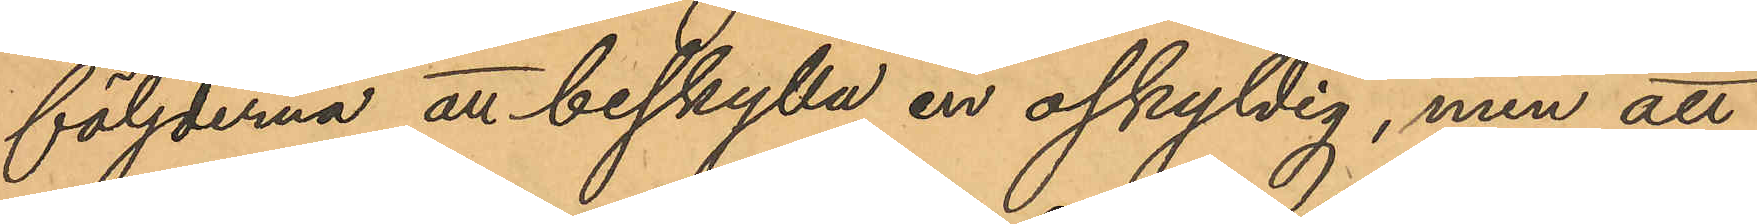följderna att beskylla en oskyldig, men att
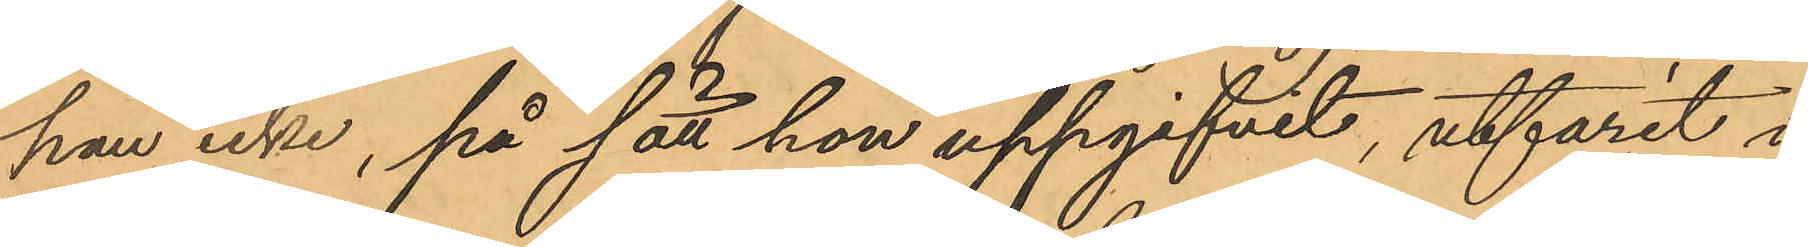han icke, på sätt hon uppgifvit, utfarit i
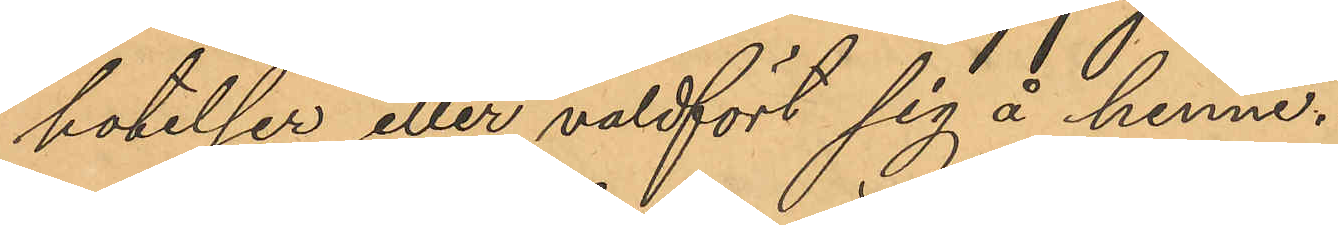hotelser eller våldfört sig å henne.
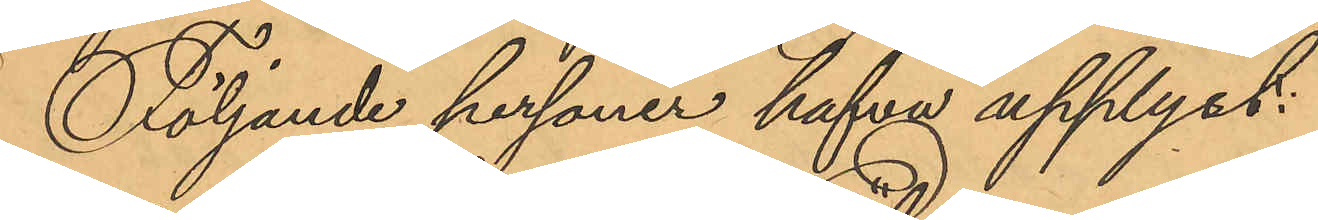Följande personer hafva upplyst:
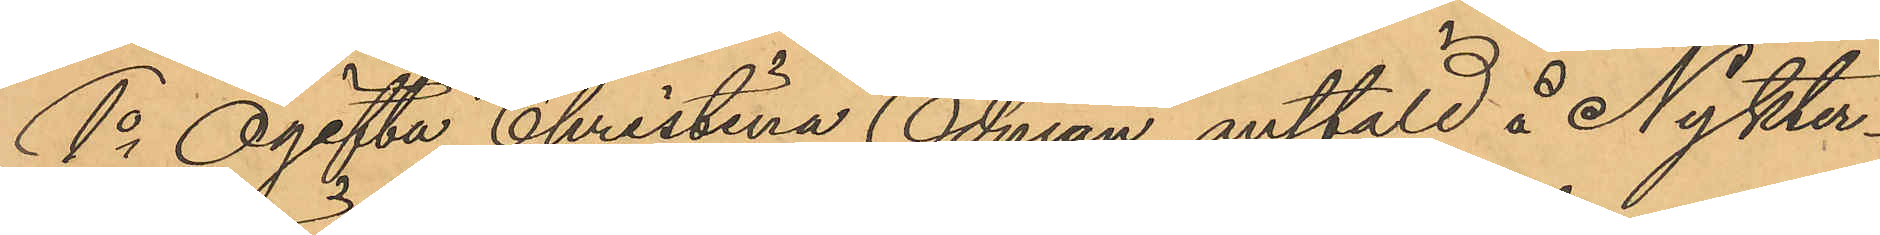1o Ogifta Christina Edman, anstäld å Nykter¬
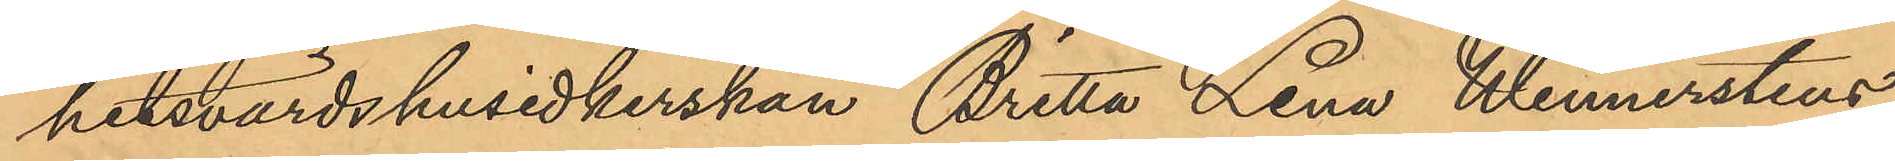hetsvärdshusidkerskan Britta Lena Wennerstens
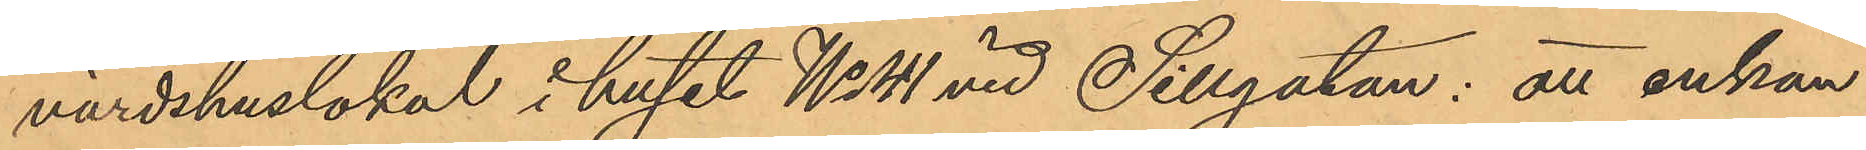värdshuslokal i huset No 41 vid Sillgatan: att enkan
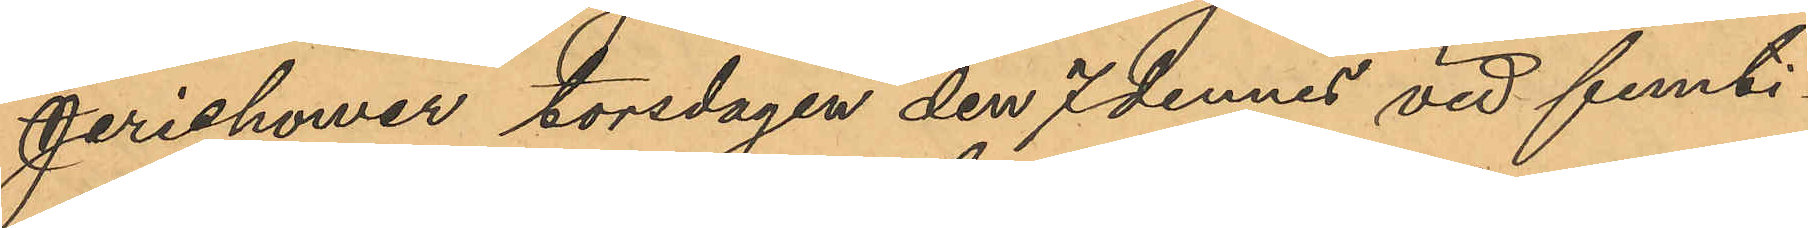Jerichower torsdagen den 7 dennes vid femti¬
